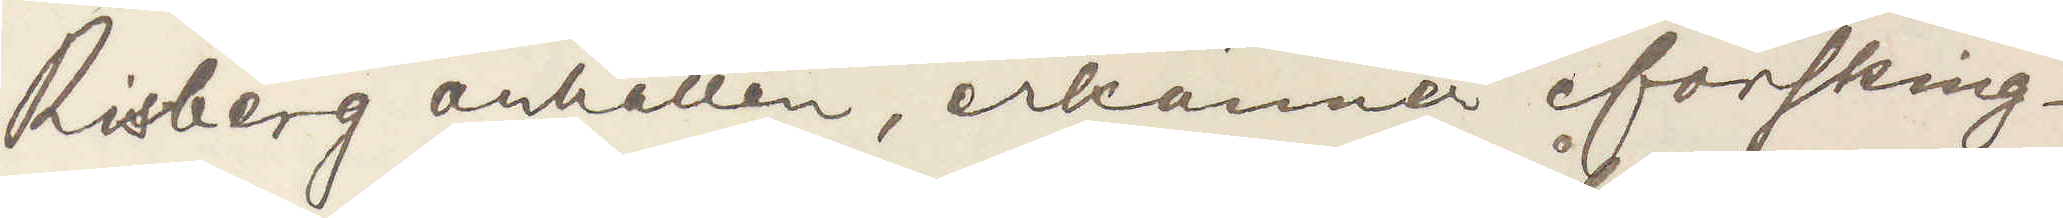Risberg anhållen, erkänner försking¬
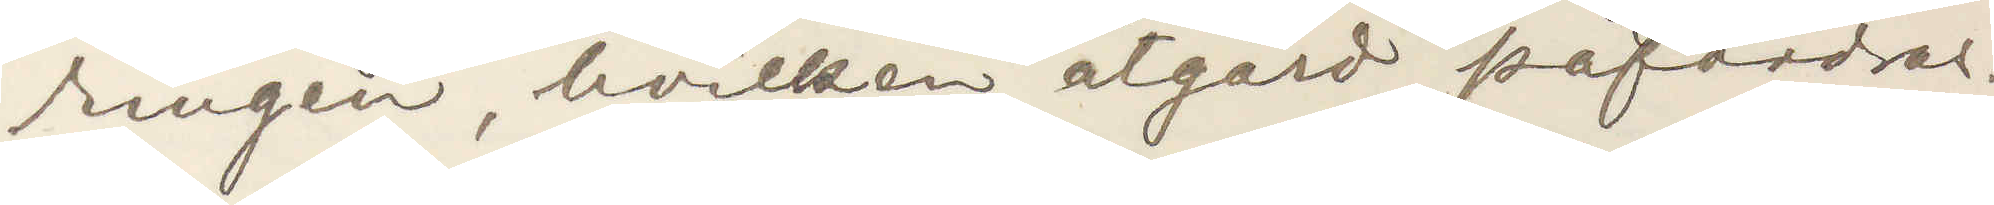ringen, hvilken åtgärd påfordras.
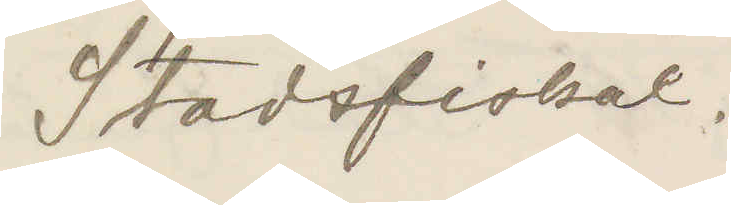Stadsfiskal.
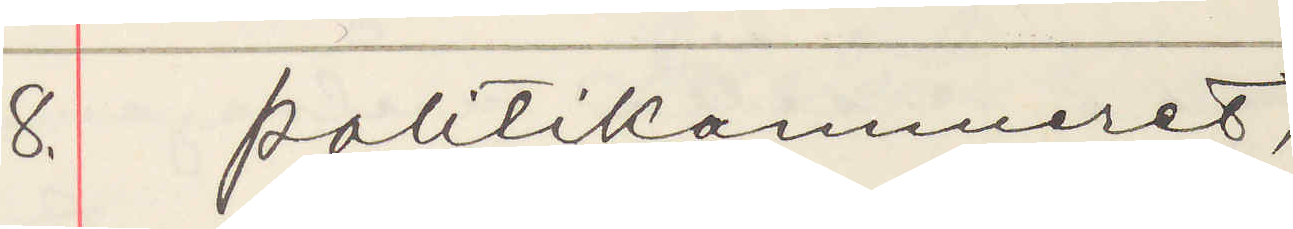8. Politikammeret,
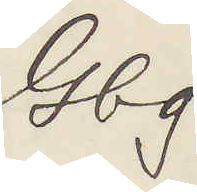Gbg.
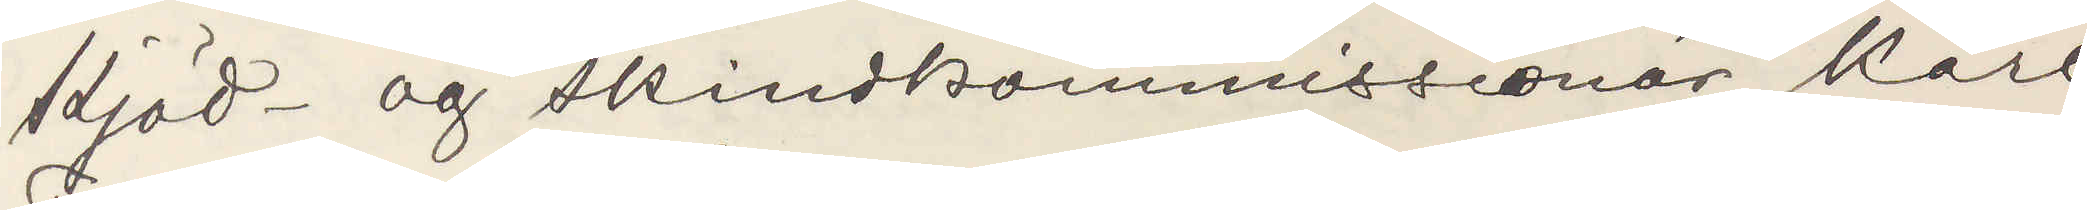Kjöd- og skindkommissionär Karl
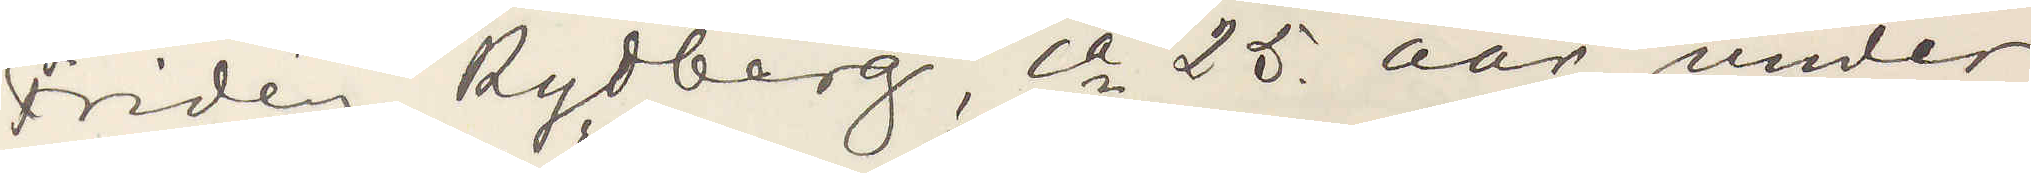Fridén Rydberg, ca 25 aar, under
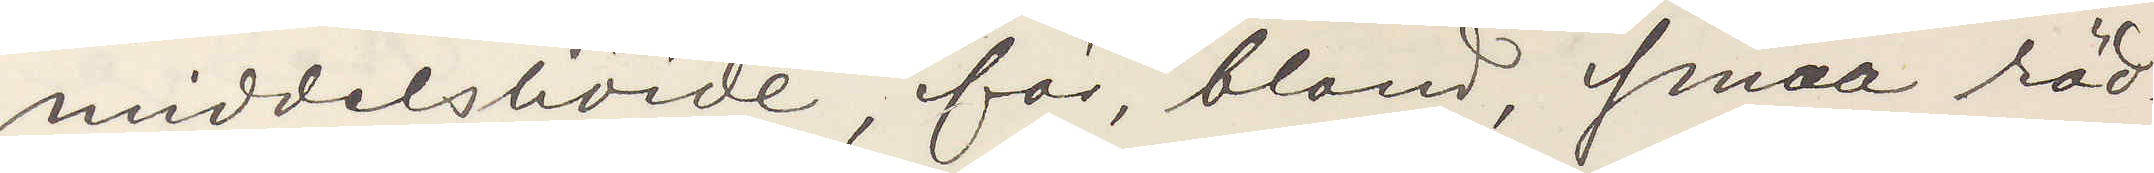middelshöide, för, blond, smaa röd¬
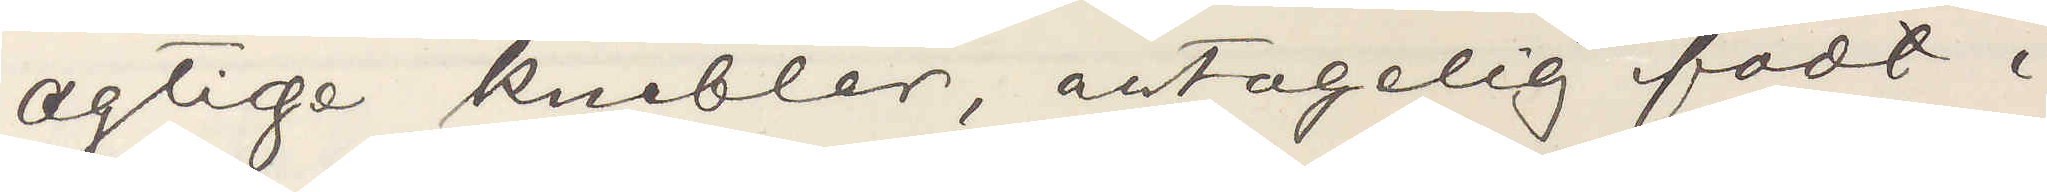agtige knebler, antagelig fodt i
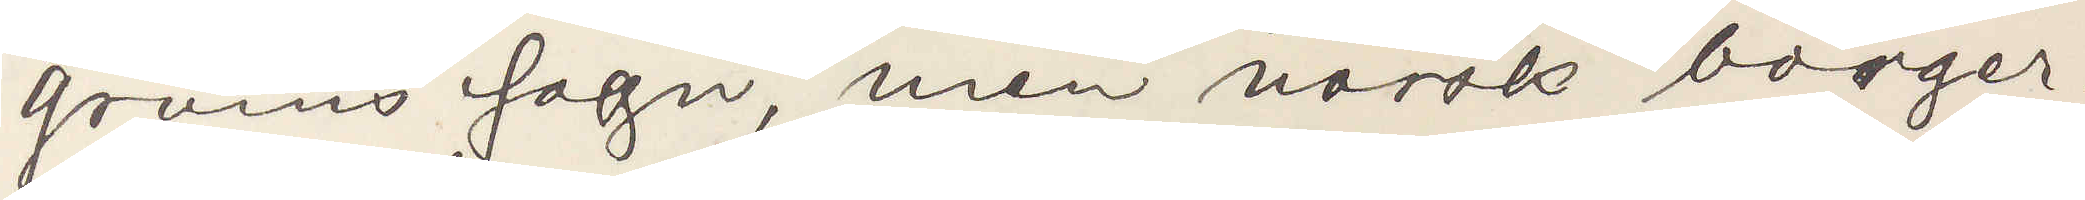Grums sogn, men norsk borger¬
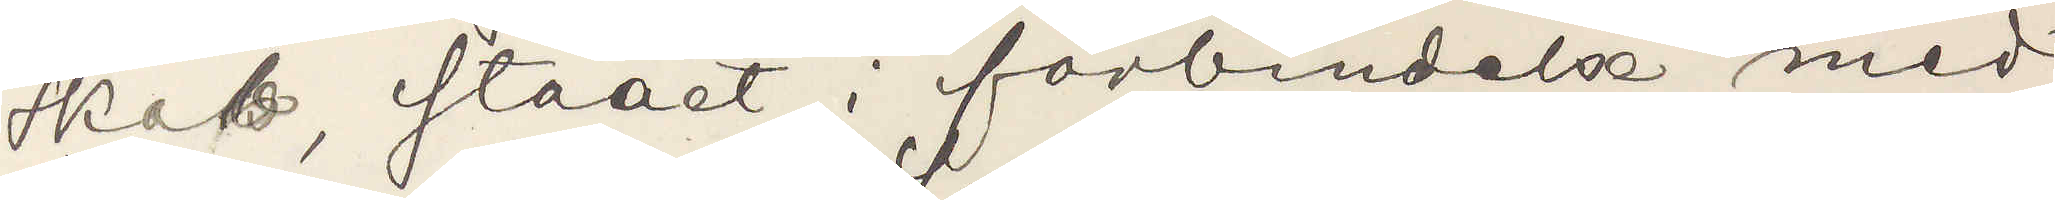skab, staaet i förbindelse med
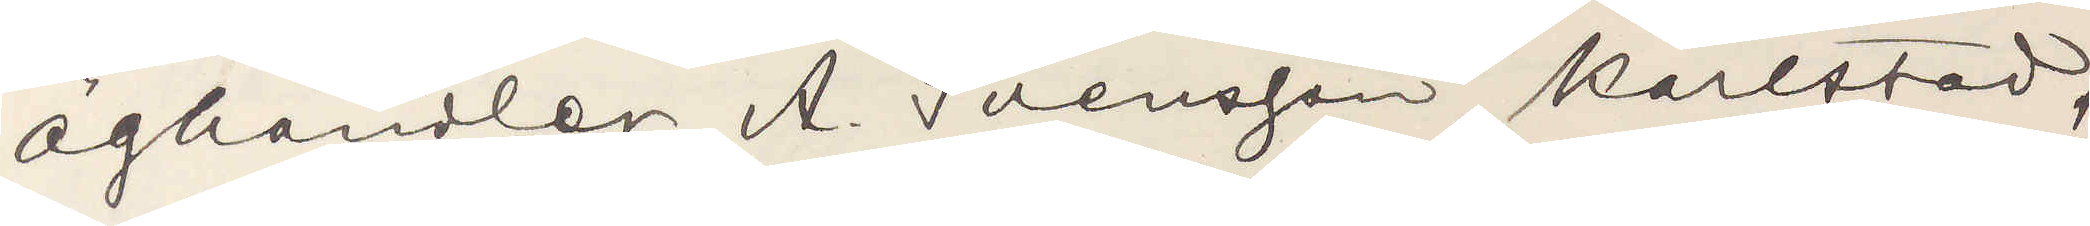äghandlen A. Svensson, Karlstad,
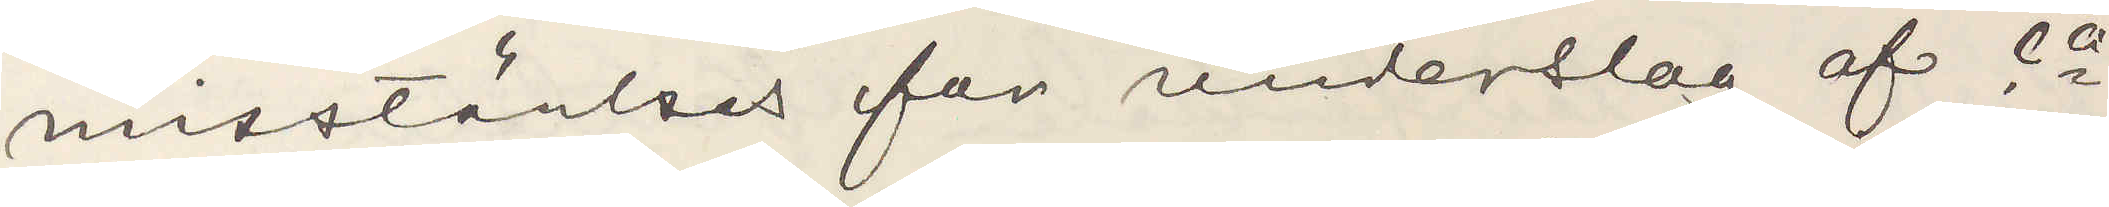misstänkes for underslag af ca
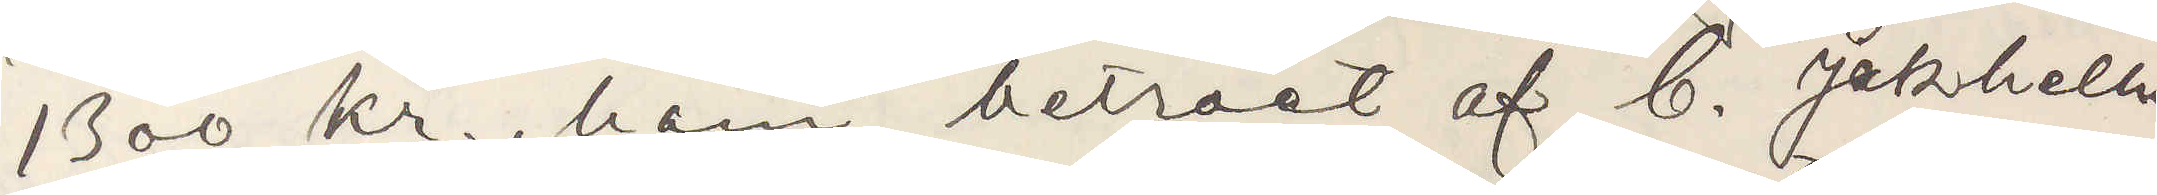1300 kr., han betraet af C. Jakhellner
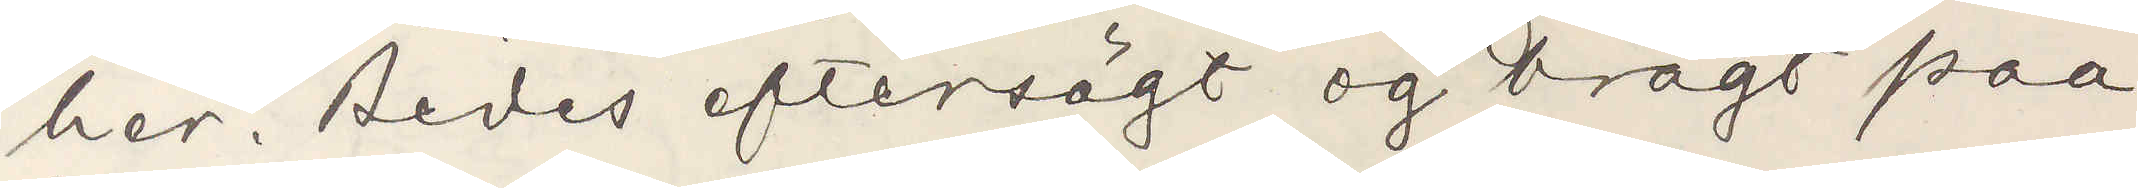her. Bedes eftersögt og bragt paa
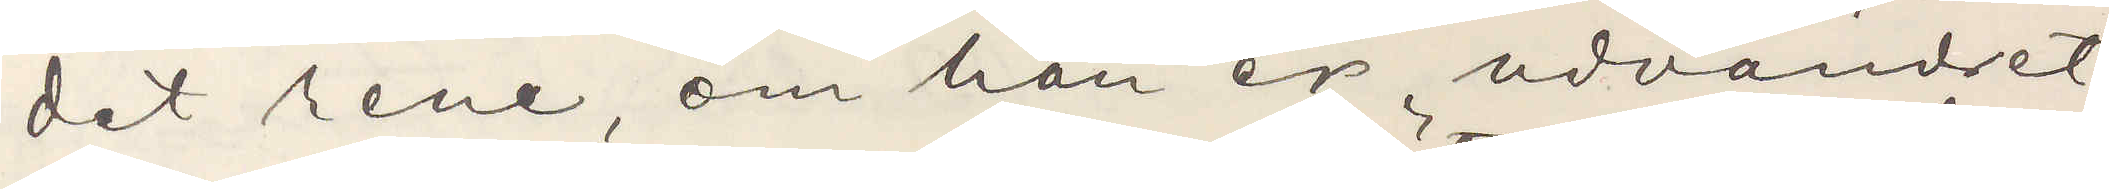det rene, om han er udvandret
